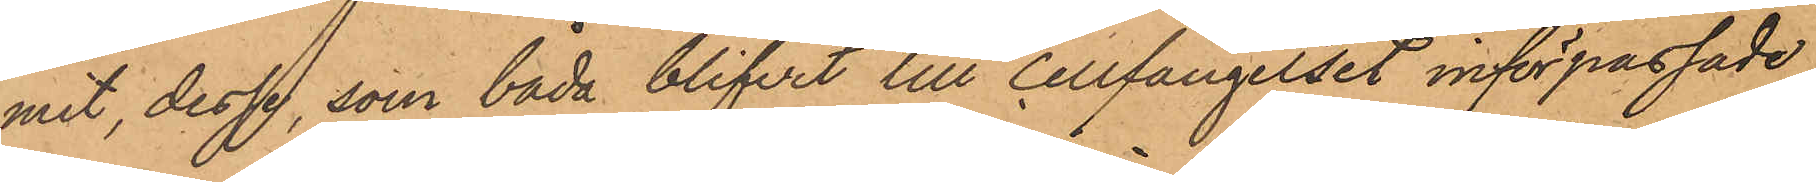mit, dessa, som båda blifvit till Cellfängelset införpassade,
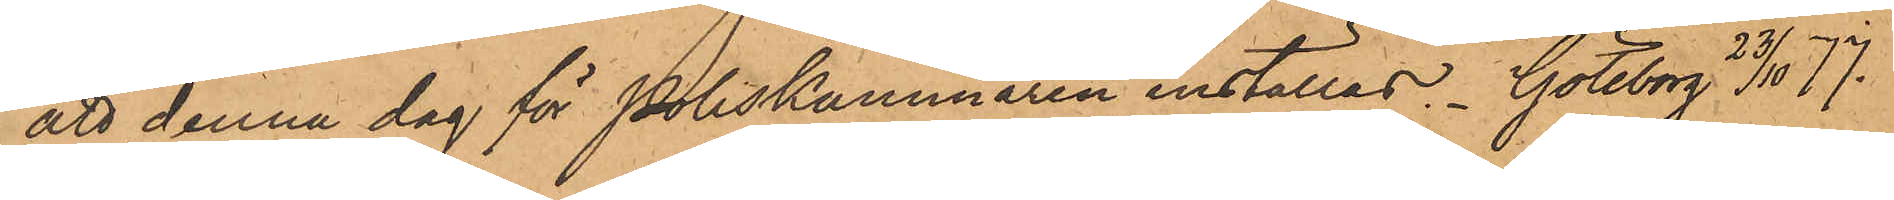att denna dag för Poliskammaren inställas. Göteborgs 23/10 77.
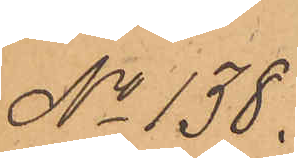No 138.
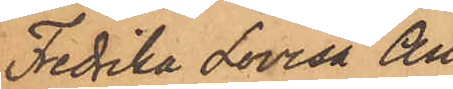Fredrika Lovisa An¬
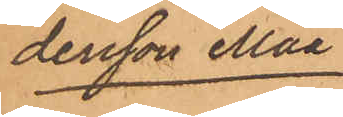dersson Måå
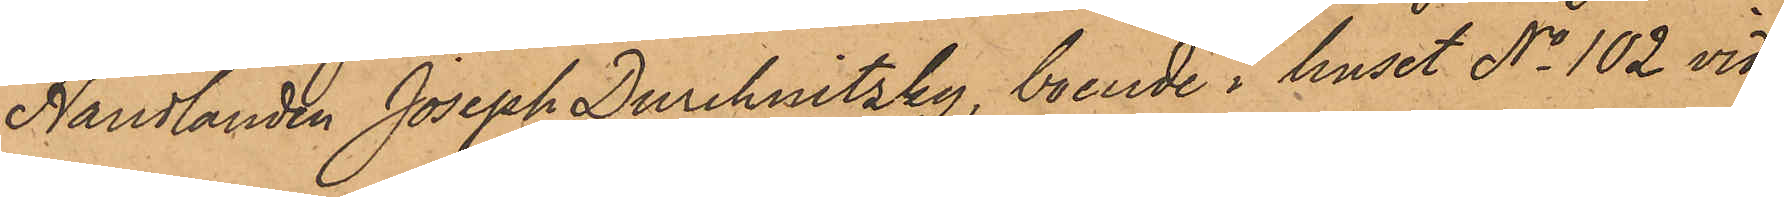Handlanden Joseph Duchnitzky, boende i huset No 102 vid
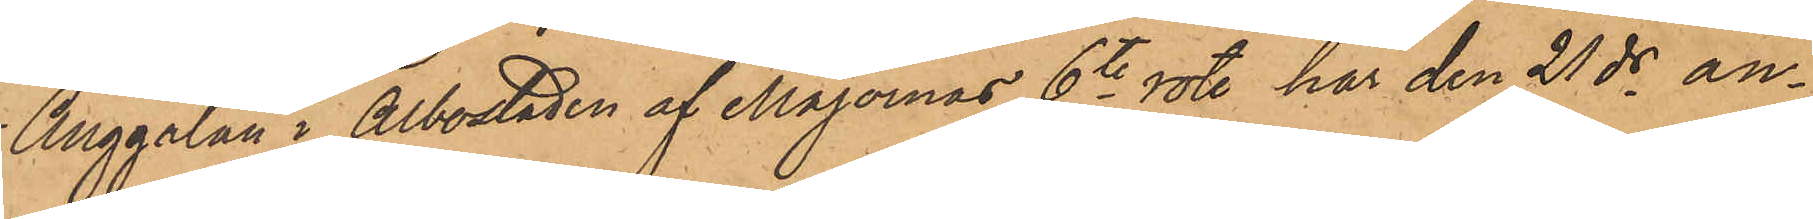Änggatan i Albostaden af Majornas 6te rote, har den 21 ds an¬
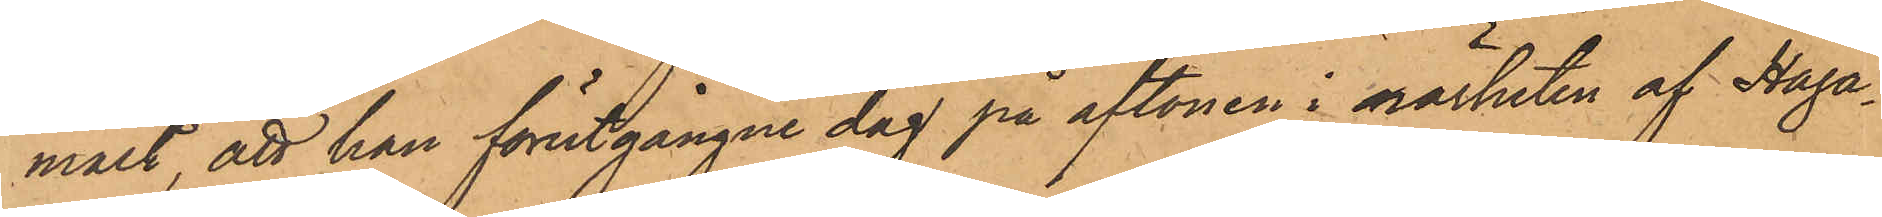mält, att han förutgångne dag på aftonen i närheten af Haga¬
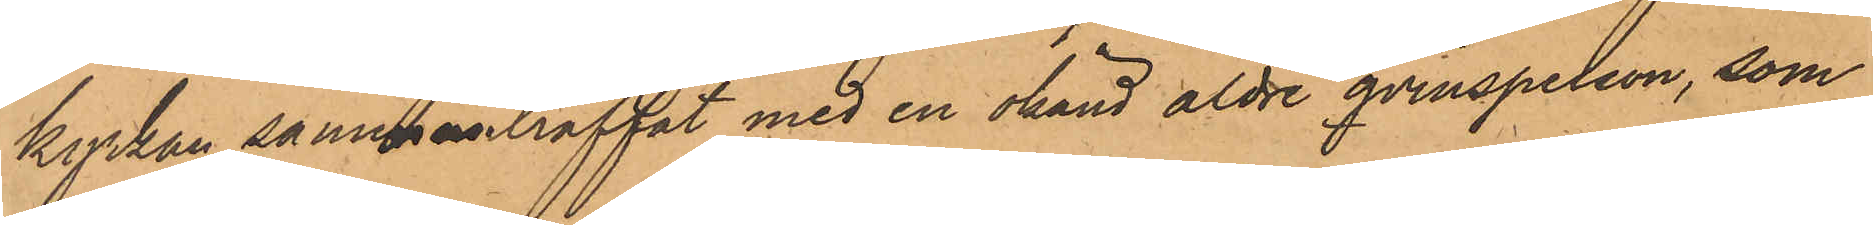kyrkan sammanträffat med en okänd äldre qvinsperson, som
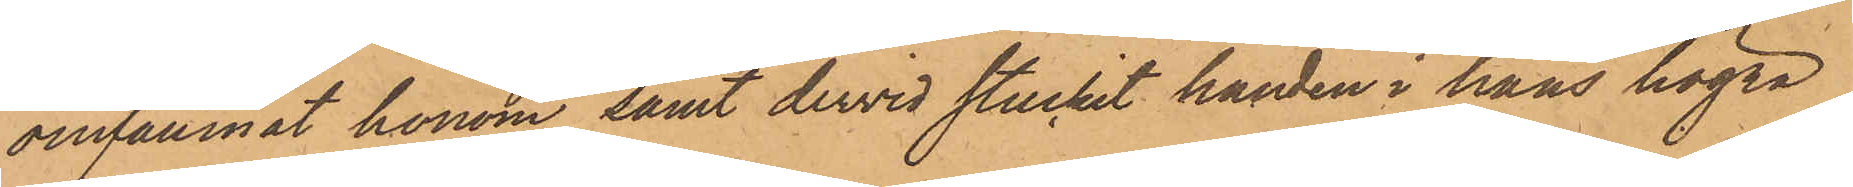omfamnat honom samt dervid stuckit handen i hans högra
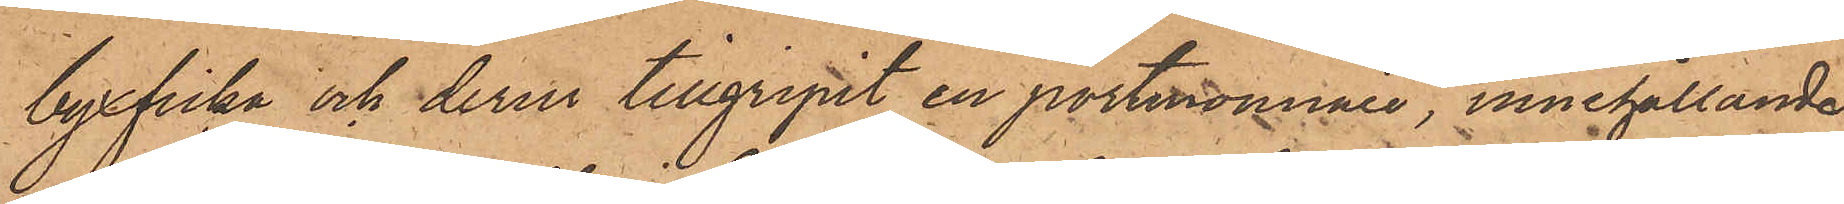byxficka och derur tillgripit en portmonnaie, innehållande
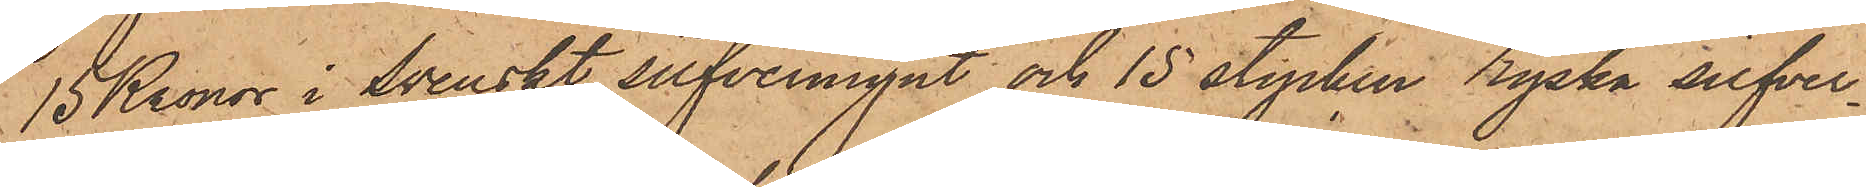15 Kronor i Svenskt silfvermynt och 15 stycken ryska silfver¬
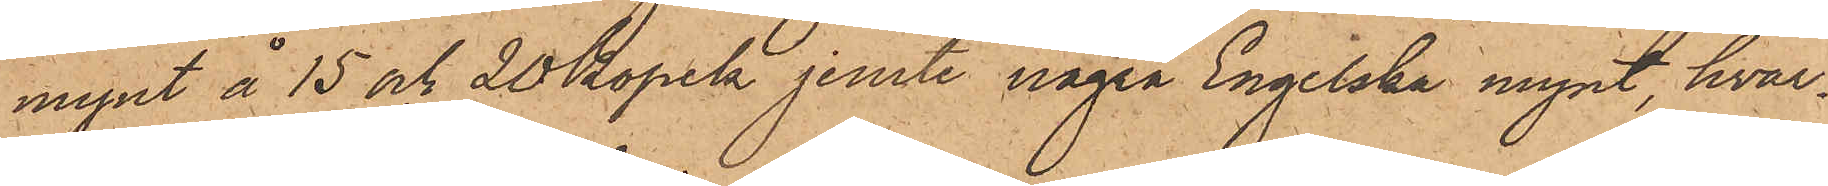mynt å 15 och 20 Kopek jemte några Engelska mynt, hvar¬
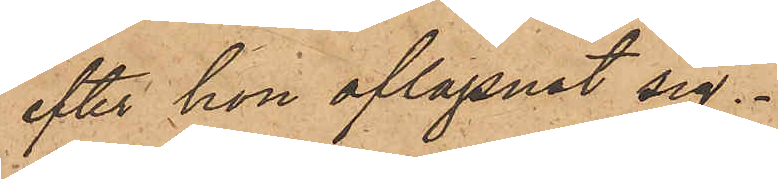efter hon aflägsnat sig.
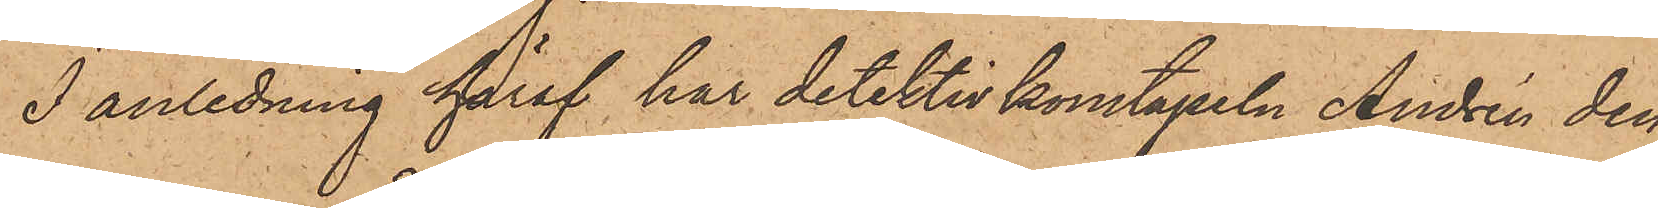I anledning häraf har detektivkonstapeln Andrén den
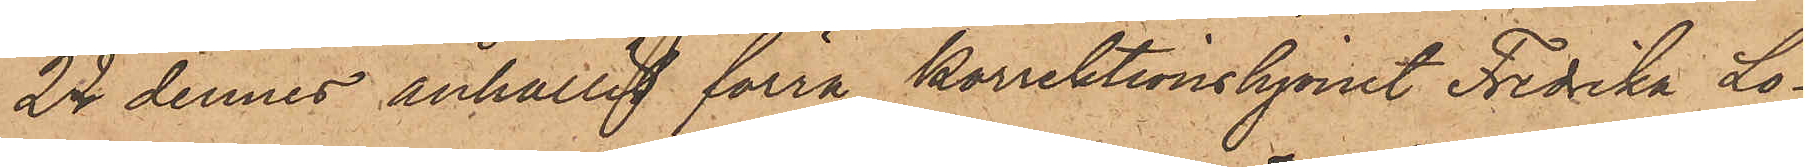22 dennes anhållit förra korrektionshjonet Fredrika Lo¬
